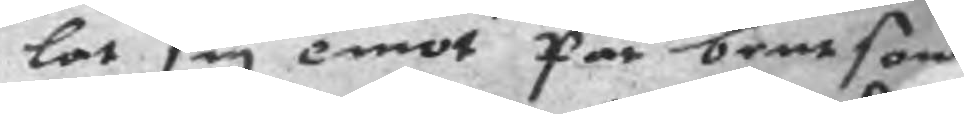lat sig emot Par bentson
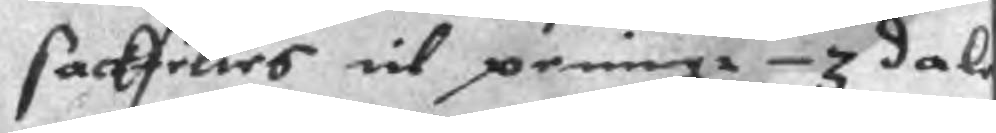sackfeltes til peningr 3 dale
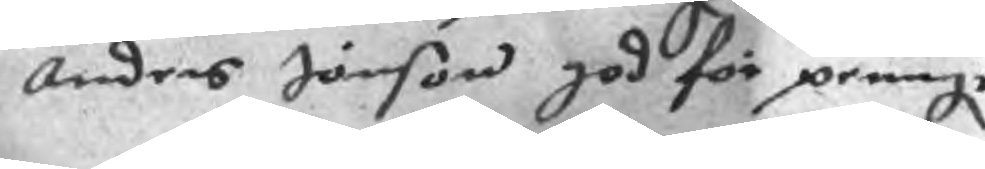Anders Jönson god för peningr
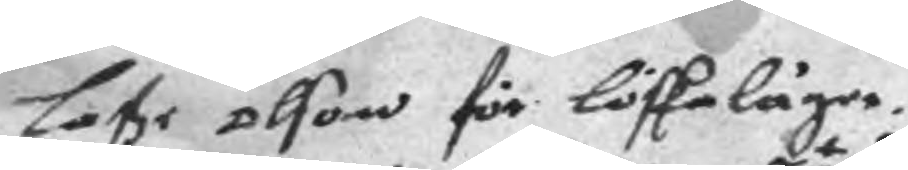Laße olson för lösksläger.
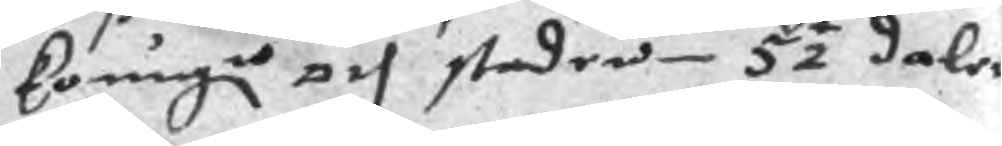Koungn och staden 5½ daler
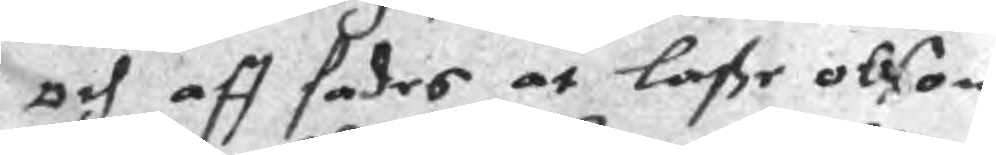och aff sades at laße olson
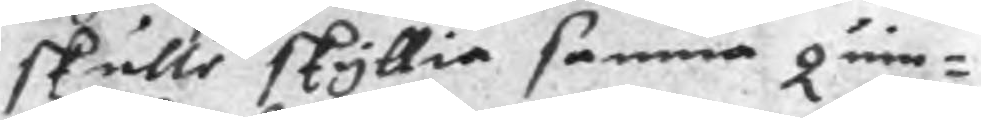skulle skyllia samma quin¬
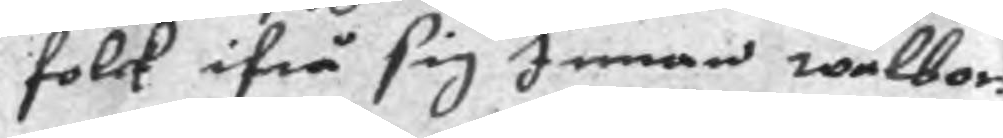folck ifrå sig Innan walbor¬
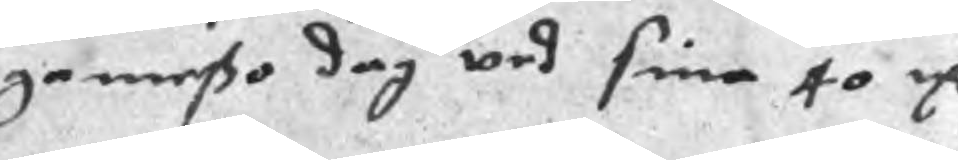gemeßo dag wed sina 40 mC
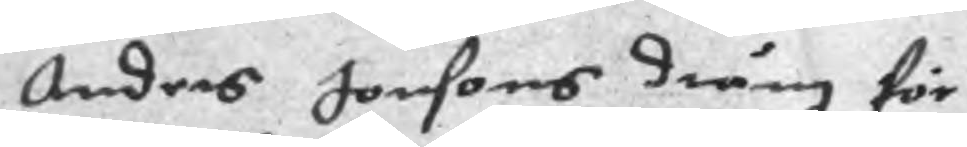Anders Jonsons dräng för
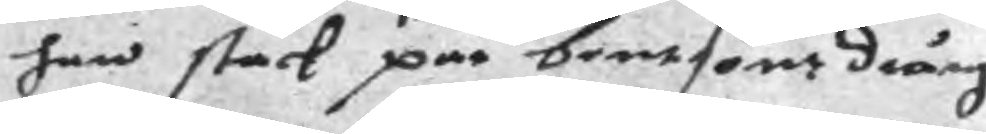han stack par bentsons dräng
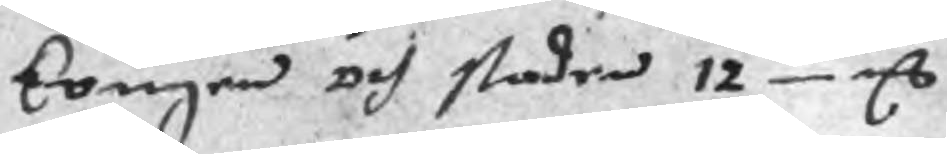kougen och staden 12 mC
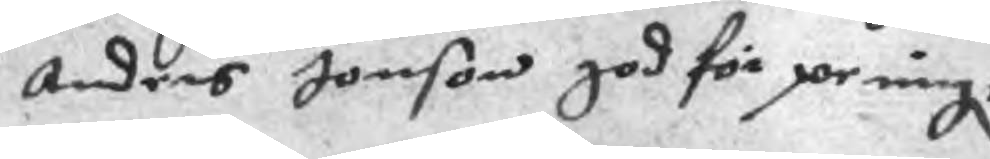Anders Jonson god för peningr
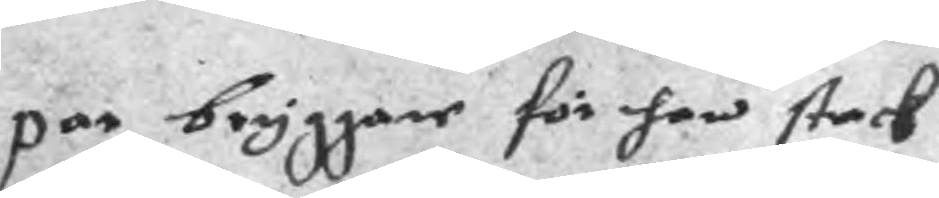par bryggare för han stack
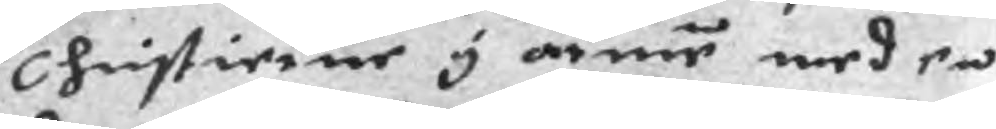Christierne i armen med en
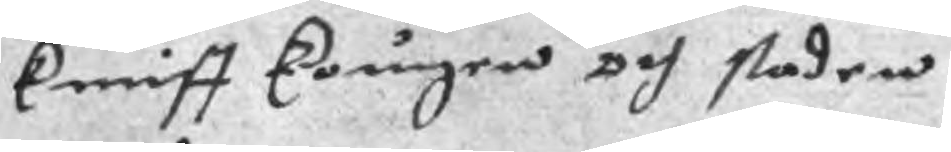kniff kougen och staden
